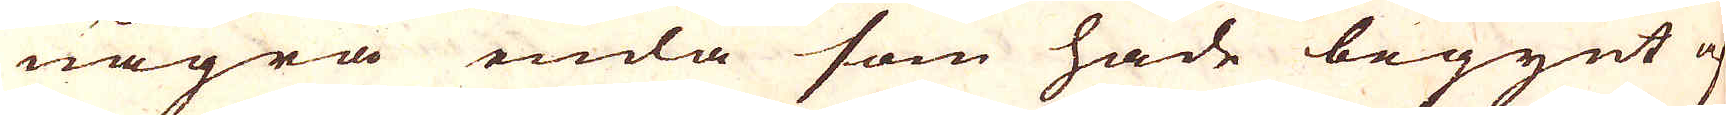några enda som hade begynt at
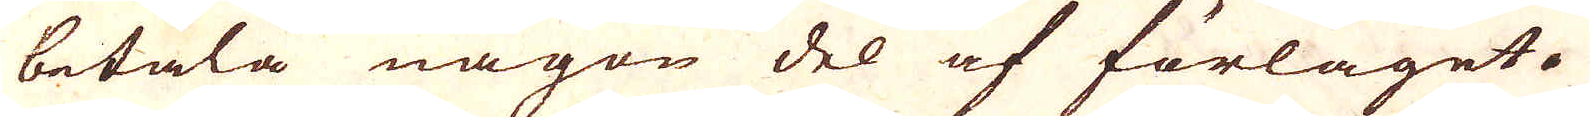betala någon del af förlaget.
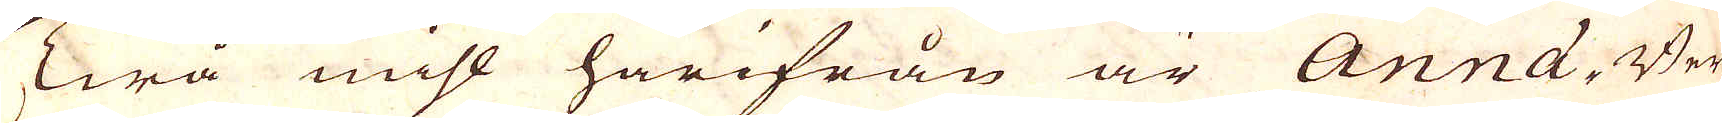Twå mihl härifrån är Anna-Berg
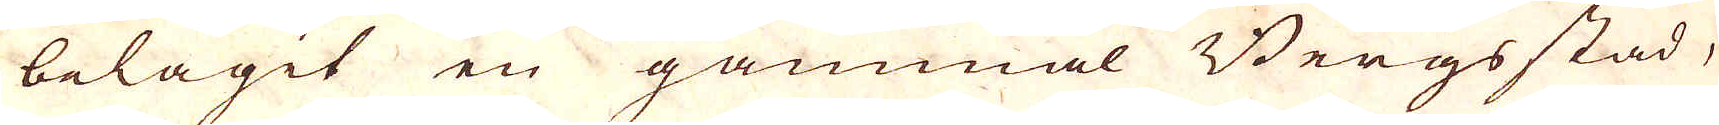belägit en gammal Bergsstad,
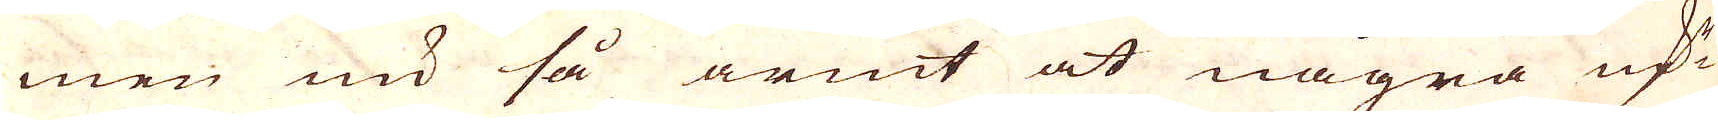men nu så armt at några qv:r
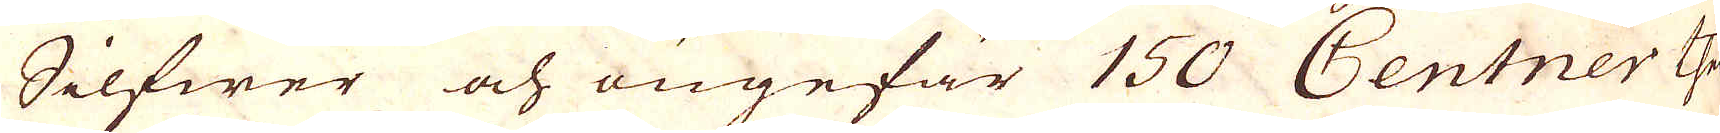Silfwer och ingefär 150 Centner Then
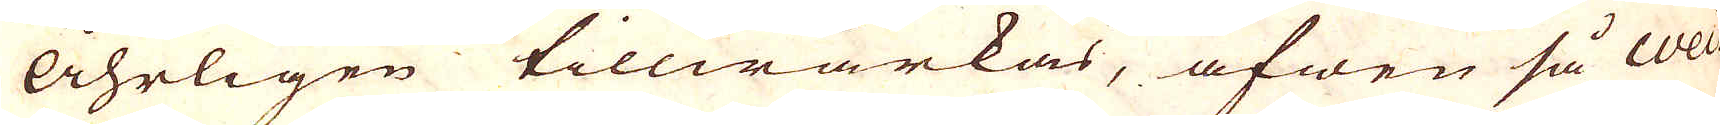Åhrligen tillwärkas, äfwen så wei-
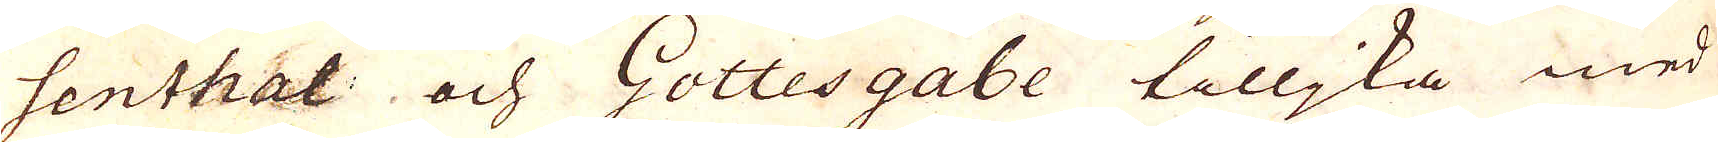senthal och Gottesgabe tilljka med
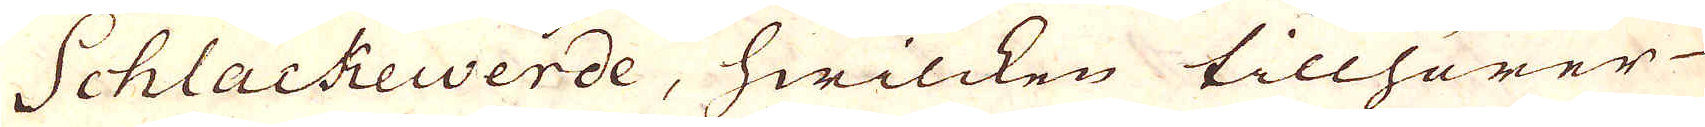Schlackewerde, hwilcken tillhörer-
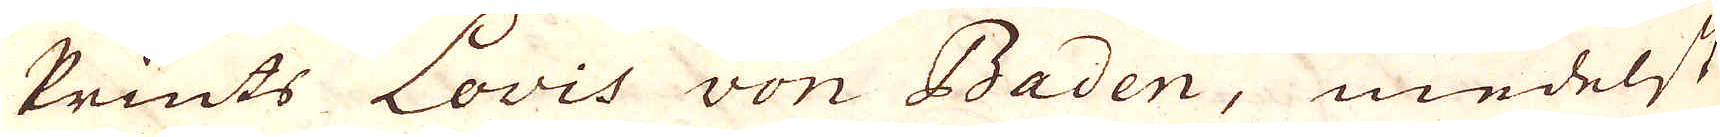Prints Lovis von Baden, medelst
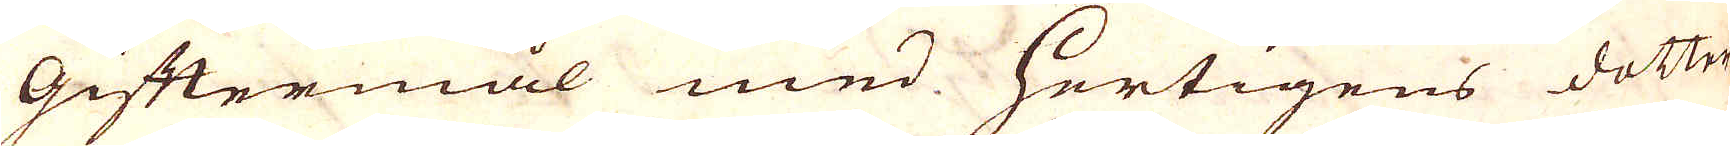Giftermål med Hertigens dotter
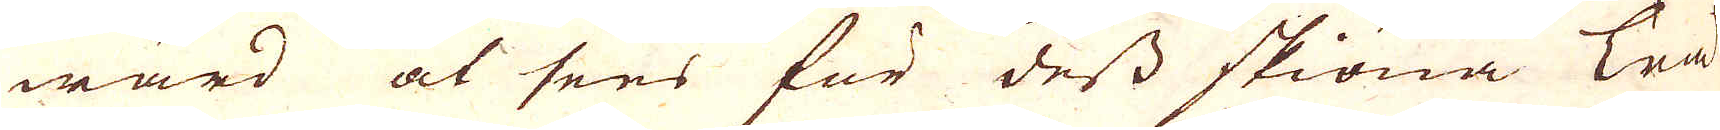wärd at sees för ders skiöna Trä-
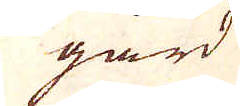gård
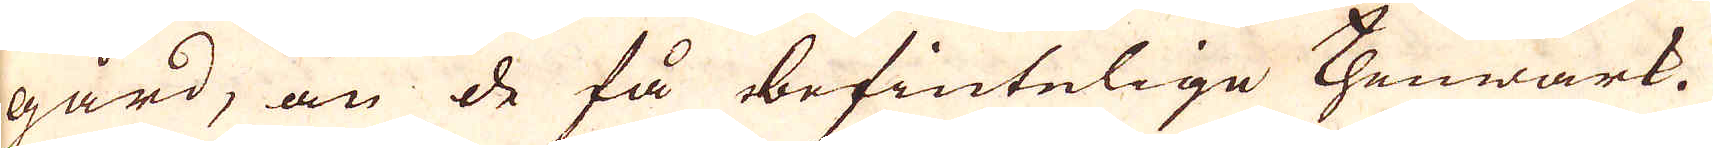gård, än de få befintelige Thenwärk.
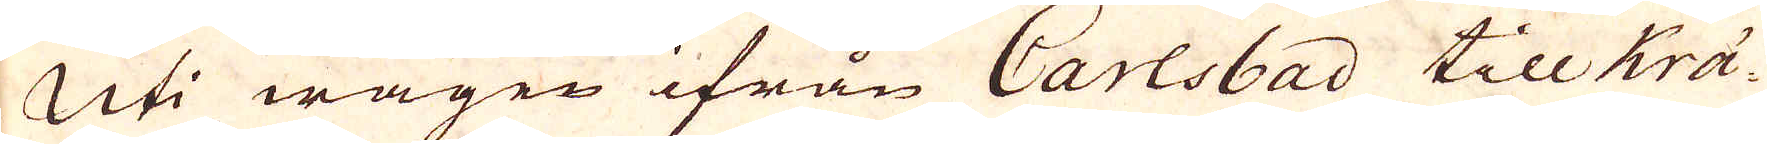Uti wägen ifrån Carlsbad till Krä-
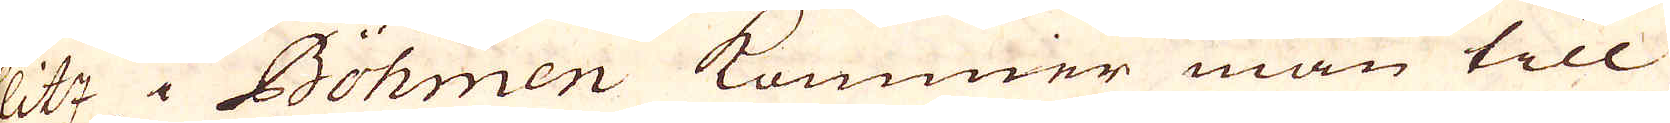slitz i Böhmen kommer man till
